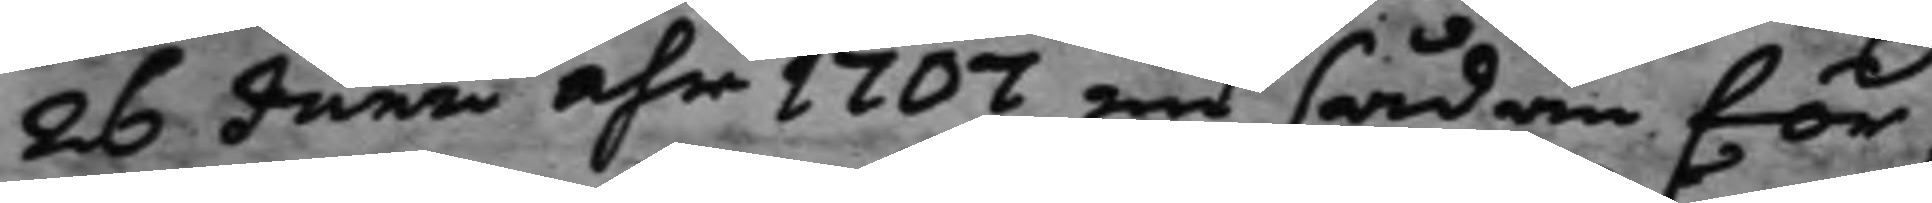26 Junii åhr 1707 en sådan för¬
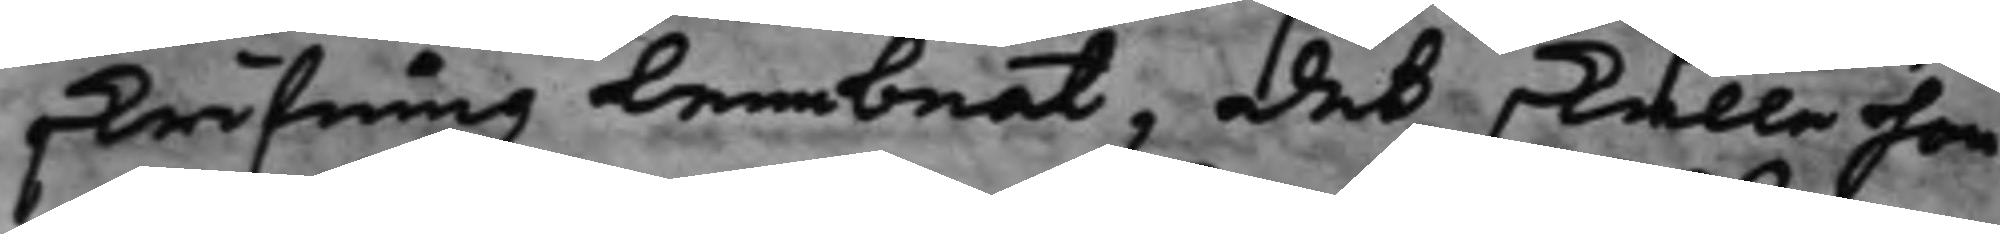skrifning lembnat, det skulle hon
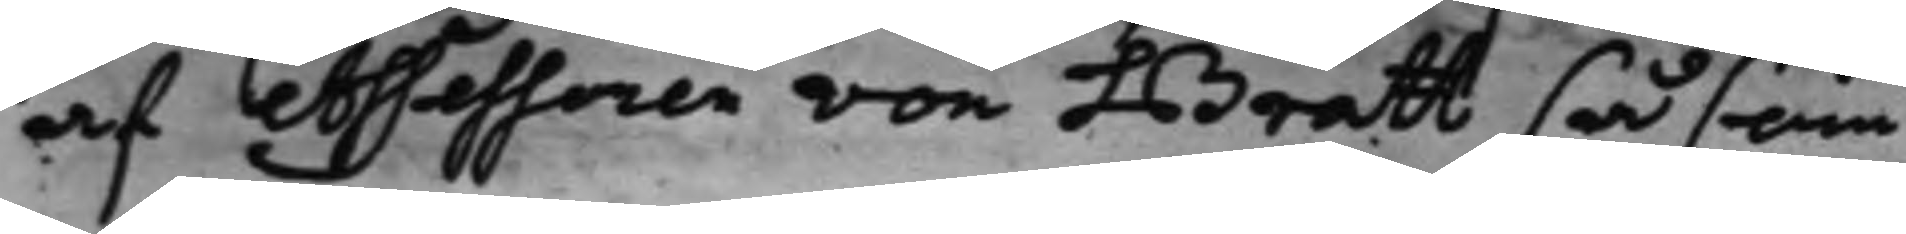af Assessoren von Bratt så som
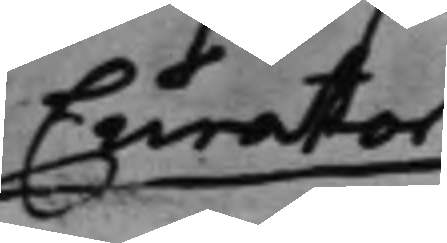Curator
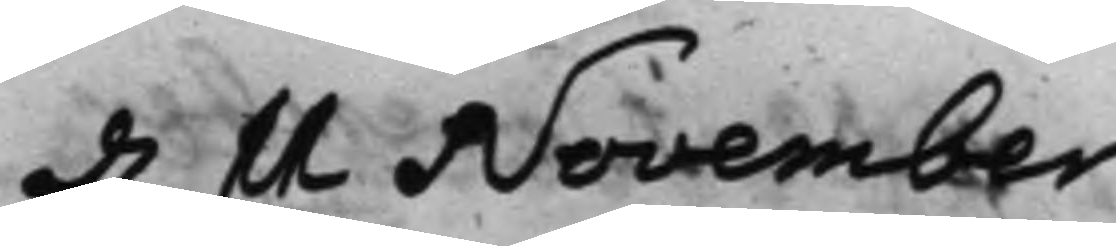d. 11 November
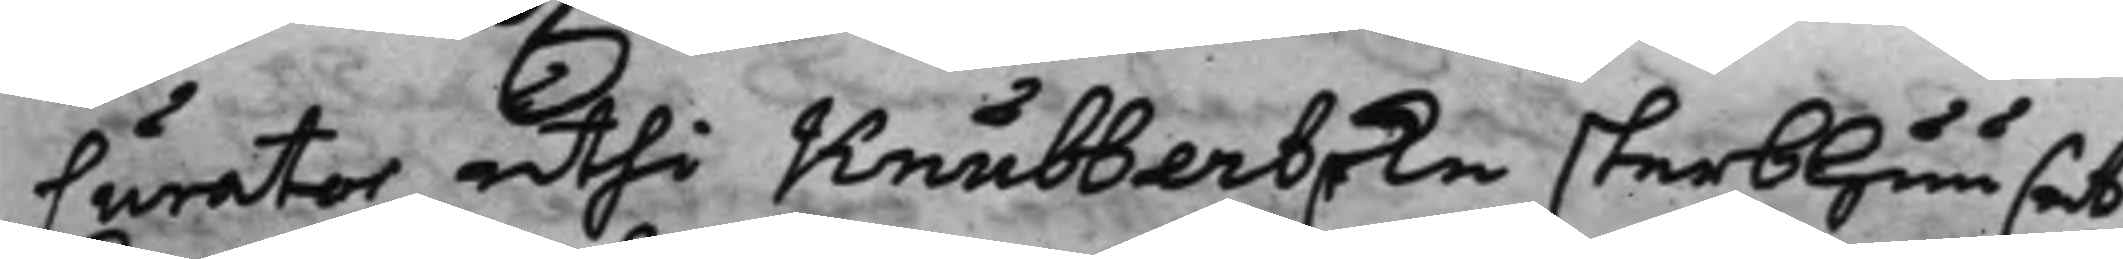Curator uthi Knubberska sterbhuuset
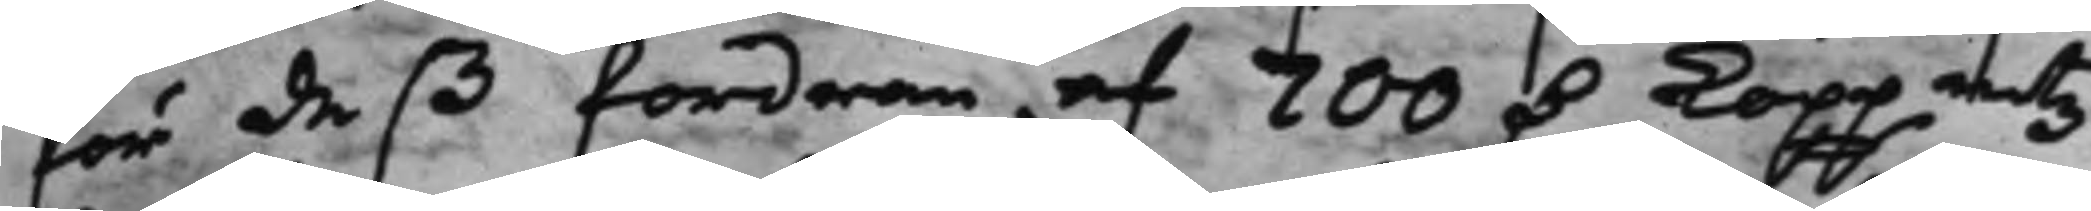för deß fordran af 700 D. Koppmtz
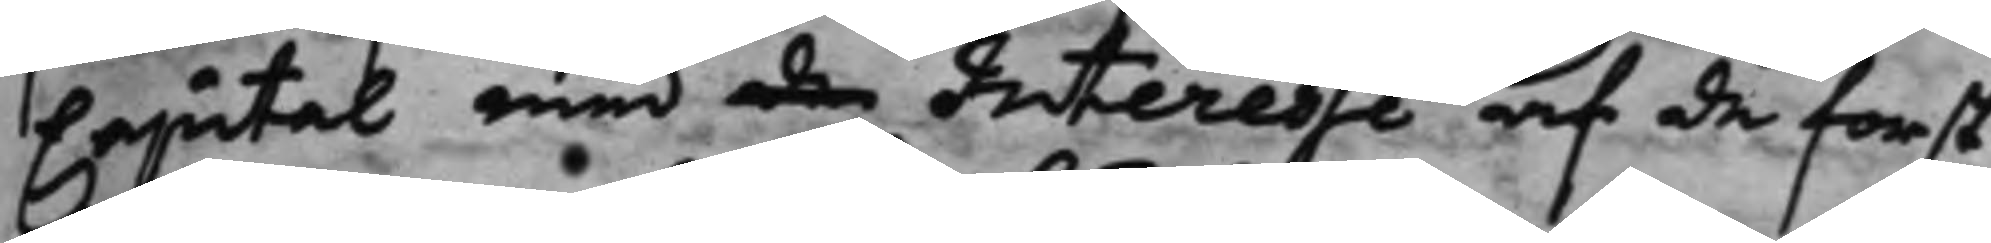Capital med de Interesse af de först
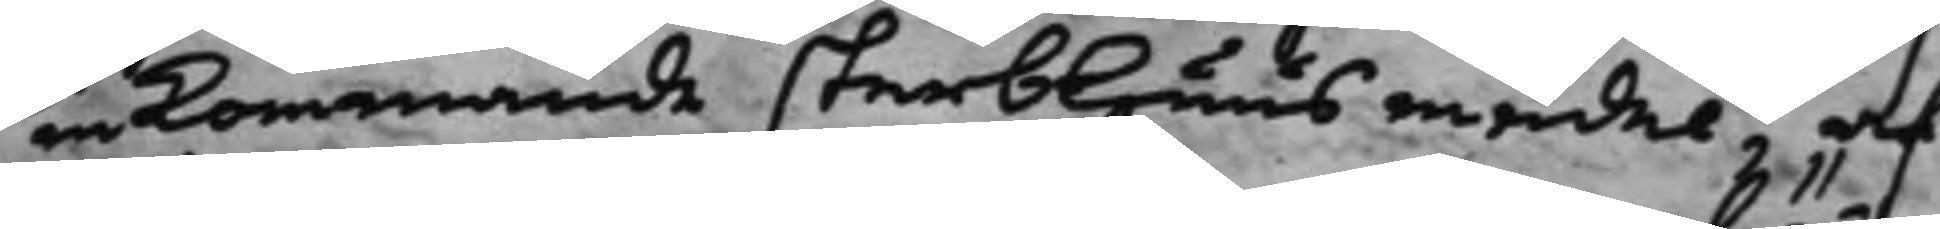inkommande sterbhuus medel, af
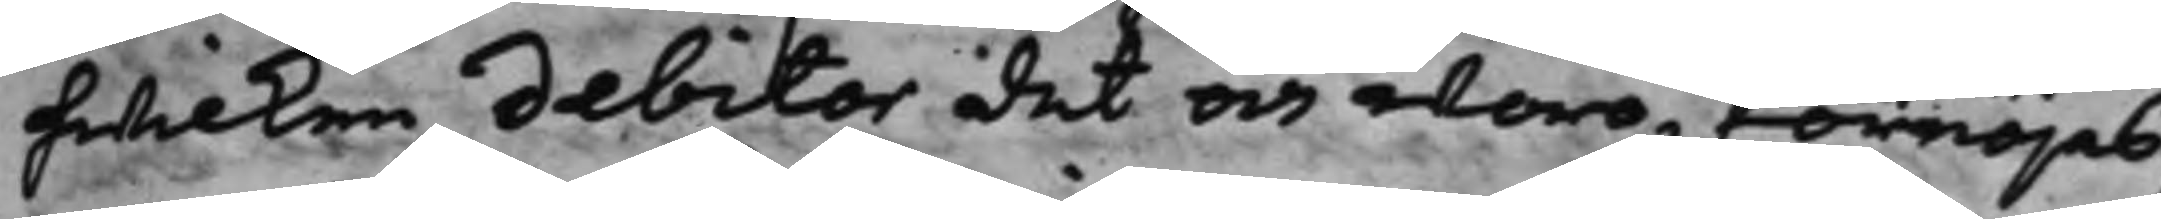hwilken debitor det och woro förnöjas,
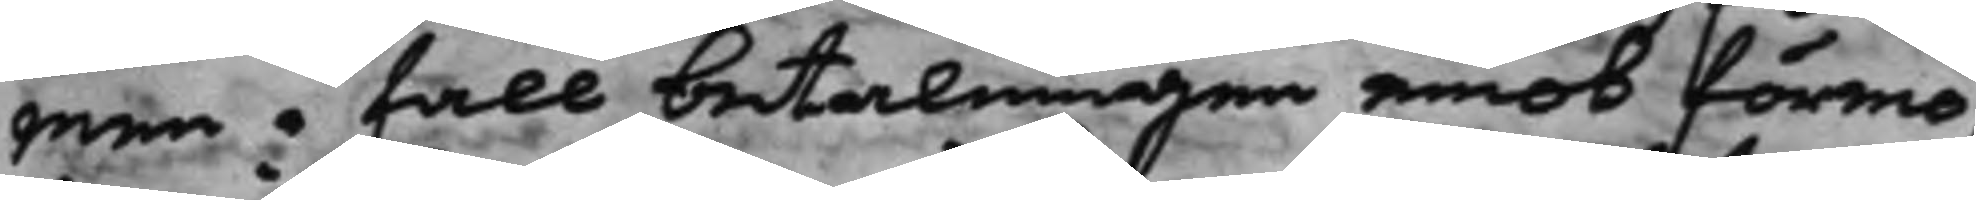men i fall betalningen emot förmo¬
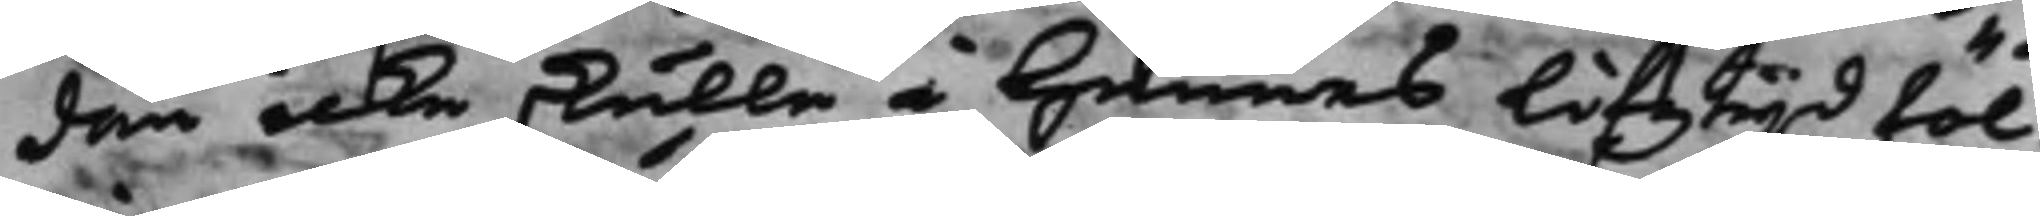dan icke skulle å hennes lifstijd föl¬
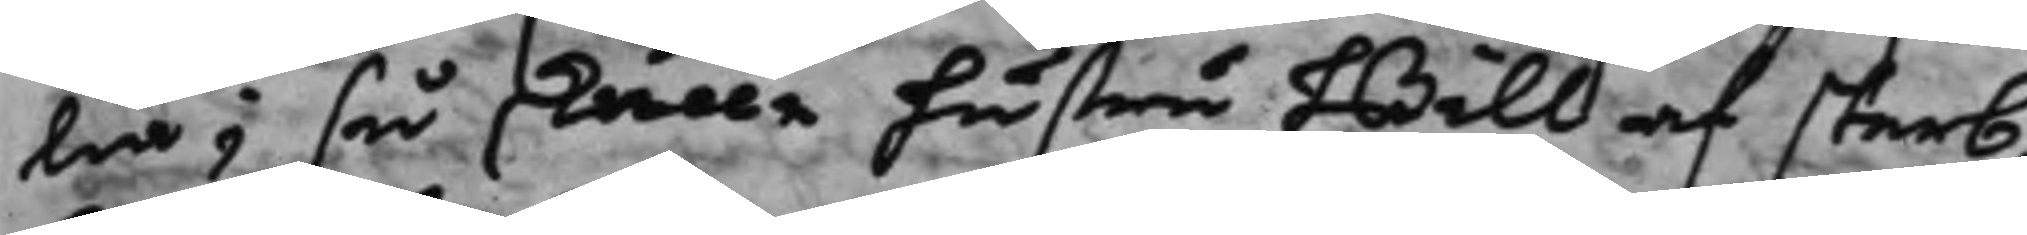lia, så skulle hustru Bill af sterb¬
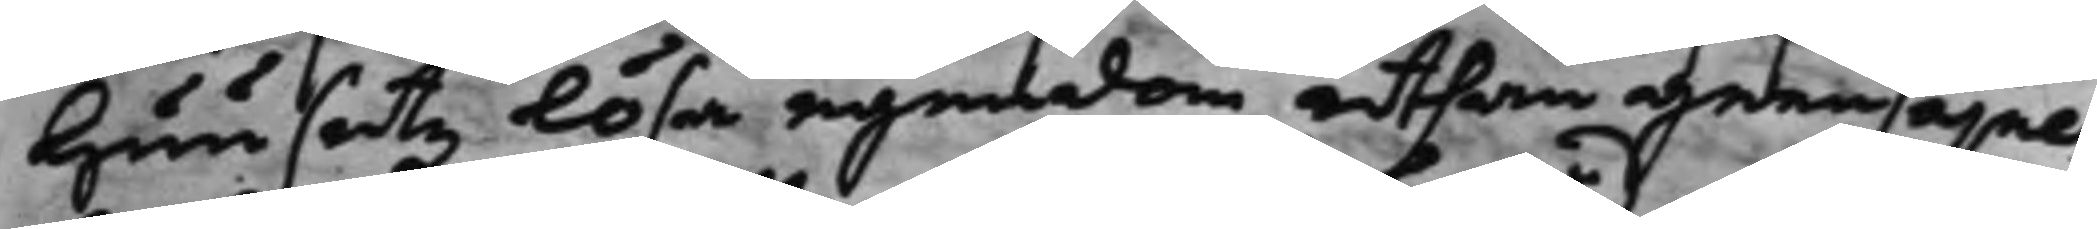huusetz lösa egendom uthan geensäjel¬
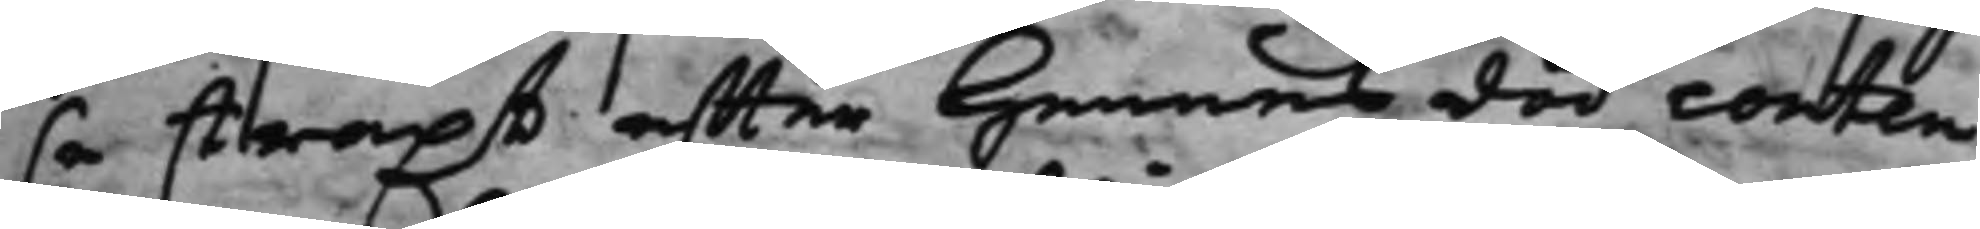så straxt effter hennes död conten¬
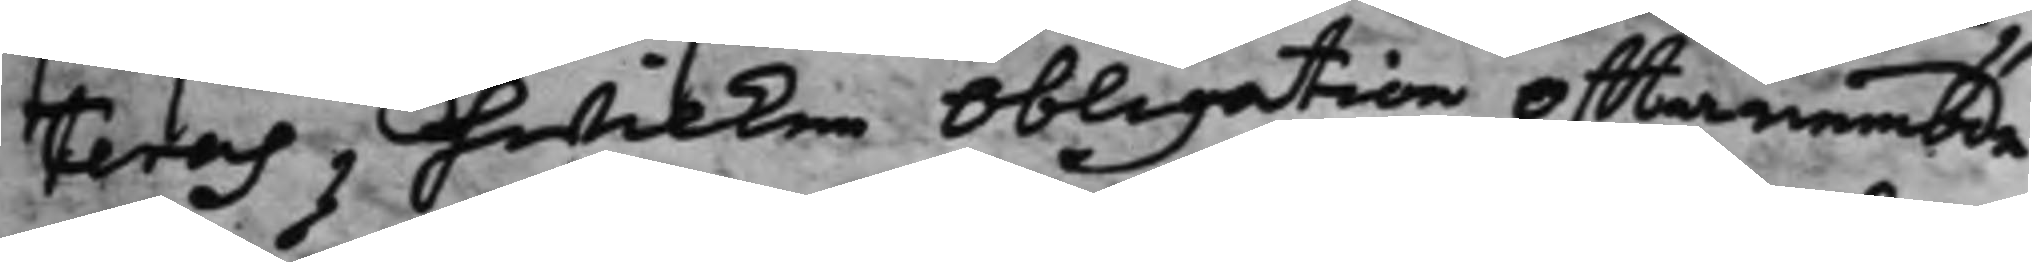teras, hwilken Obligation offtanämbde
